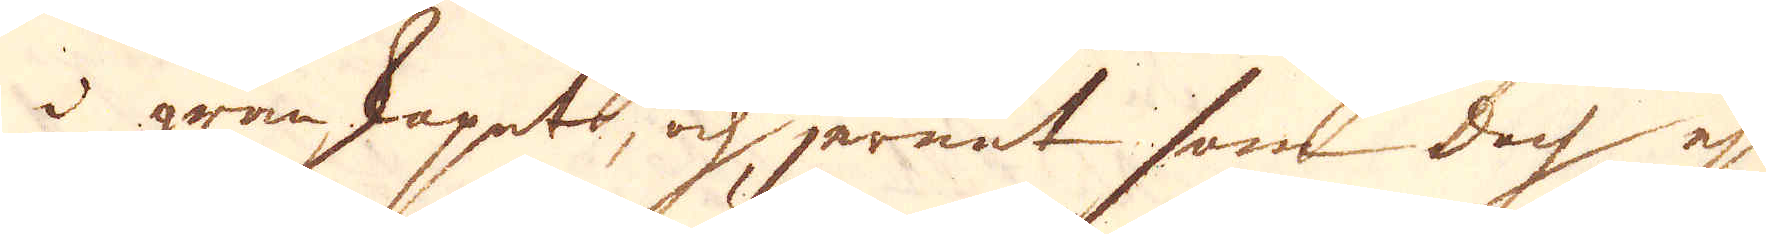i granskapet, och jernet som doch ej
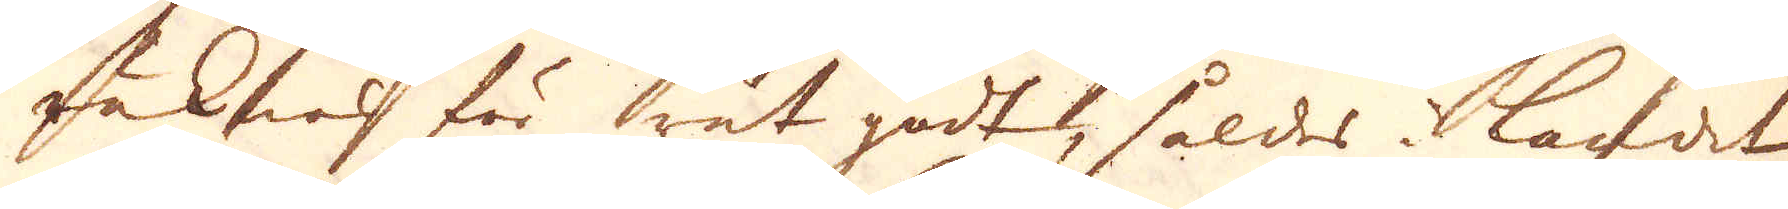räknas för rät godt såldes i landet
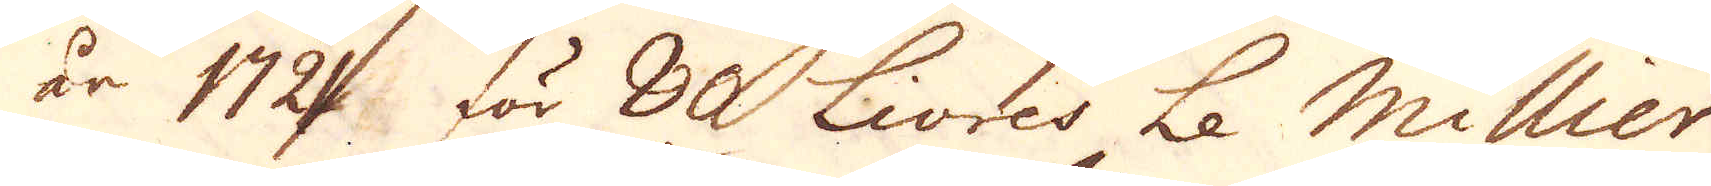år 1721 för 80 Livres Le Millier,
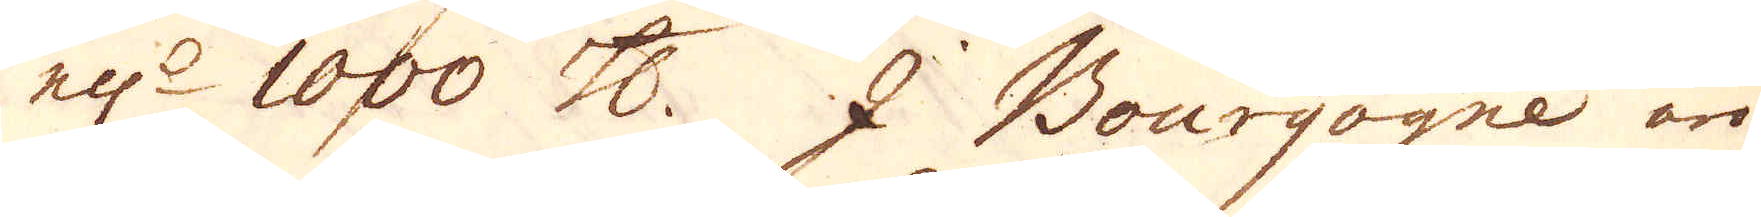ell:r 1000 skålpund. 2 Bourgogne äro
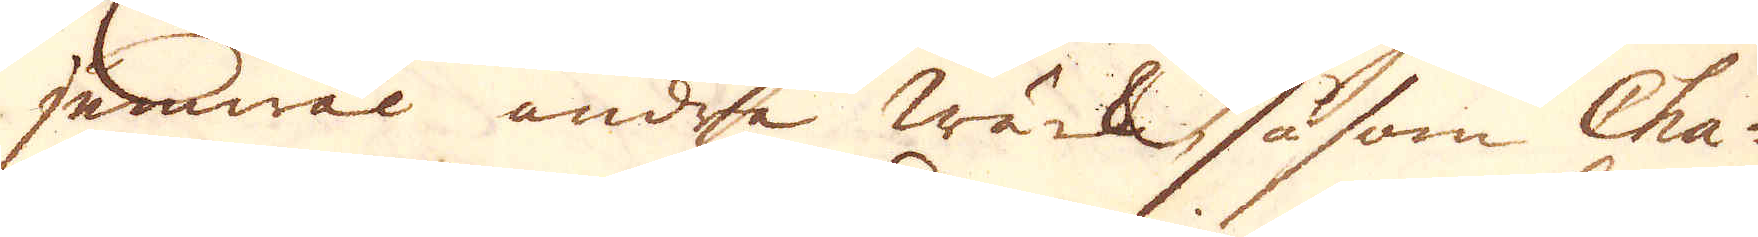jämwäl andra wärk, såsom Cha-
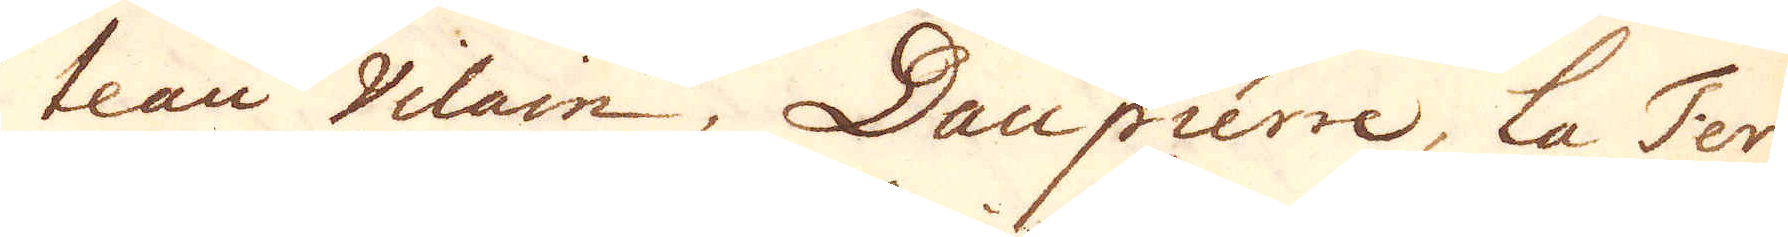teau Vilain, Daupierre, la Ter-
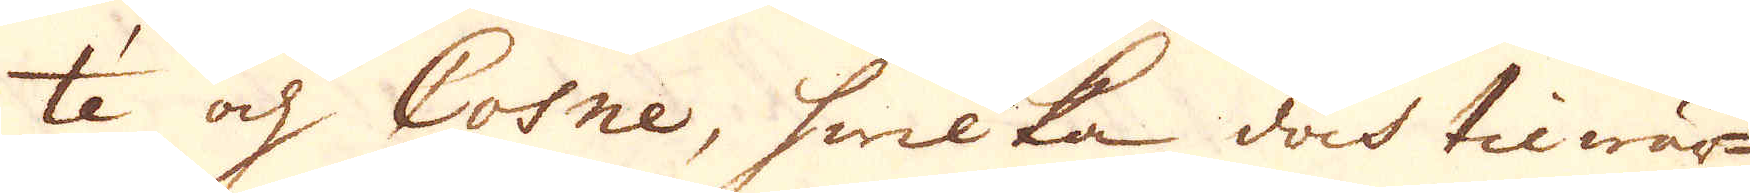té och Cosne, hwilka doch tilwär-
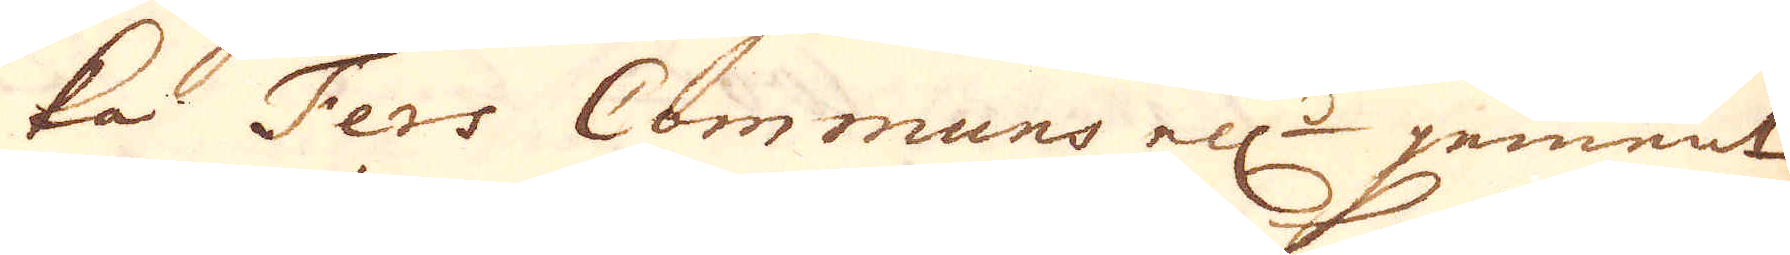ka Fers Communs ell:r jement
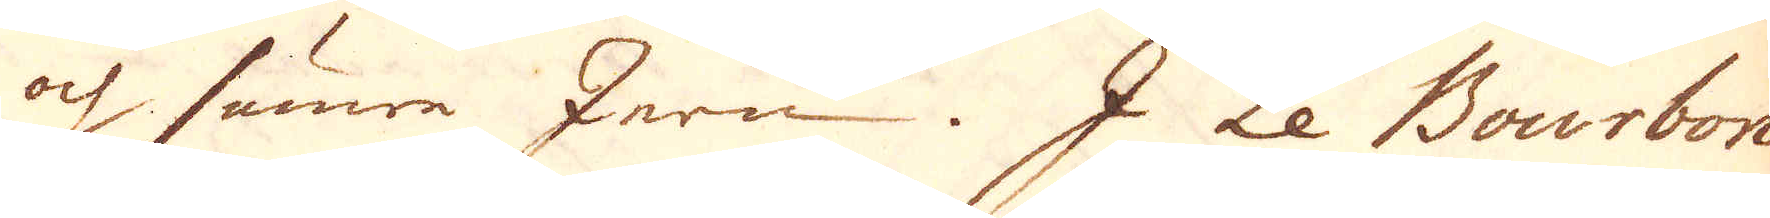och sämre Jern. I Le Bourbon
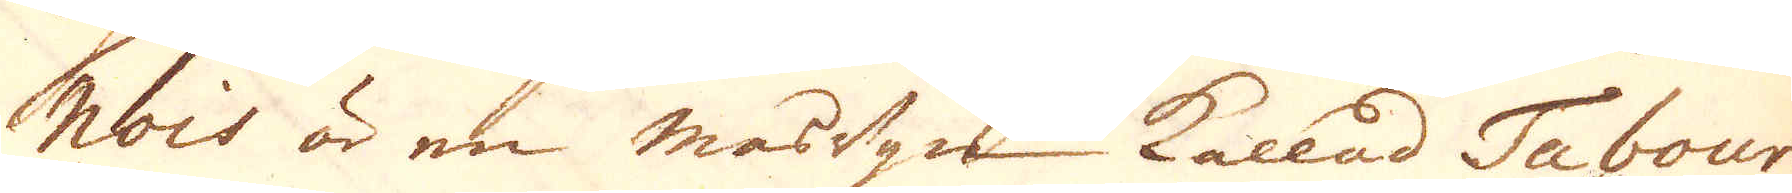nois är en masugn kallad Tabour-
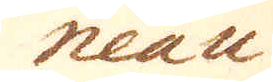neau
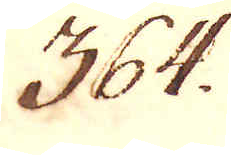364.
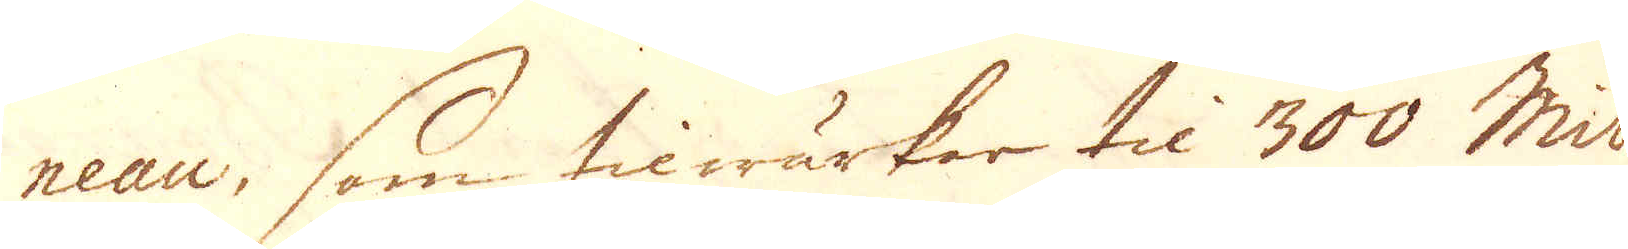neau, som tilwärkar til 300 Mil-
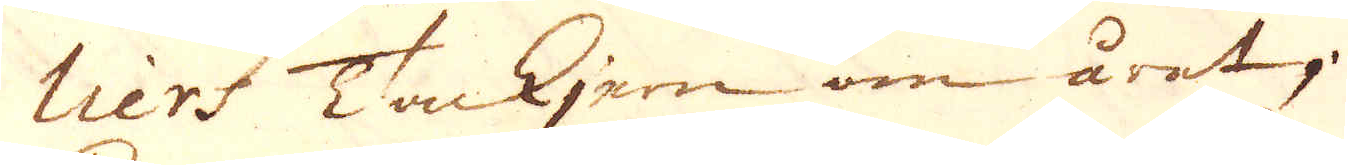liers Tackjern om året.
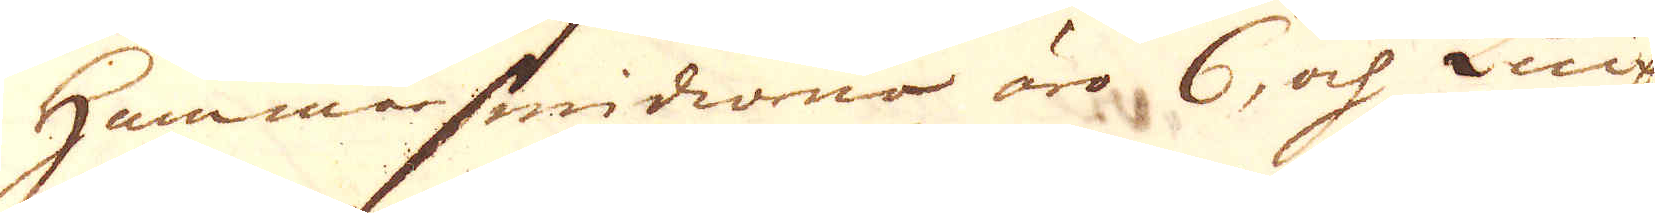Hammarsmidiorna äro 6, och Knip-
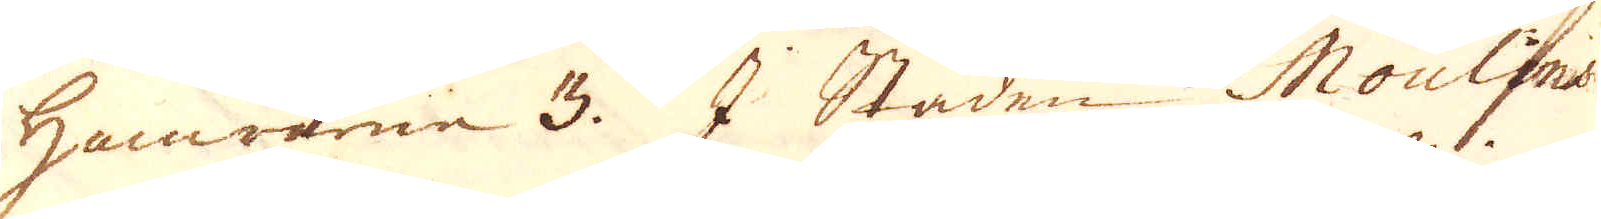Hammarne 3. I Staden Moulins
